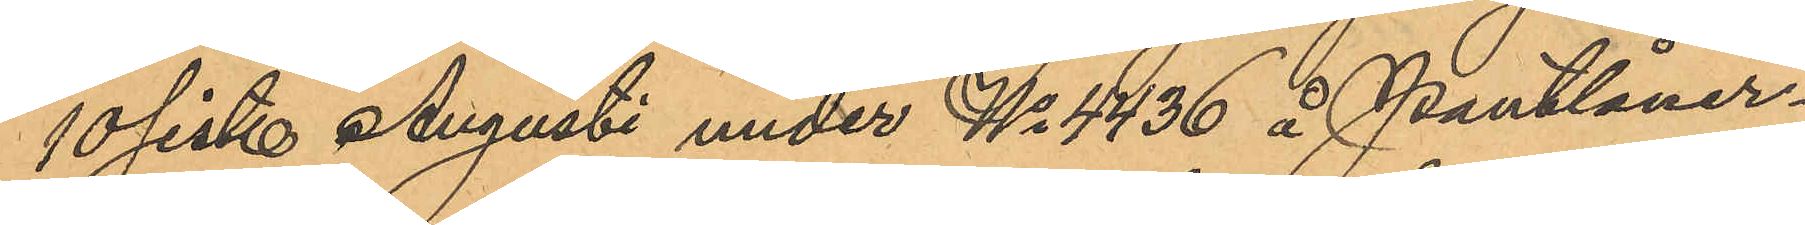10 sist. Augusti under No 4436 å Pantlåner¬
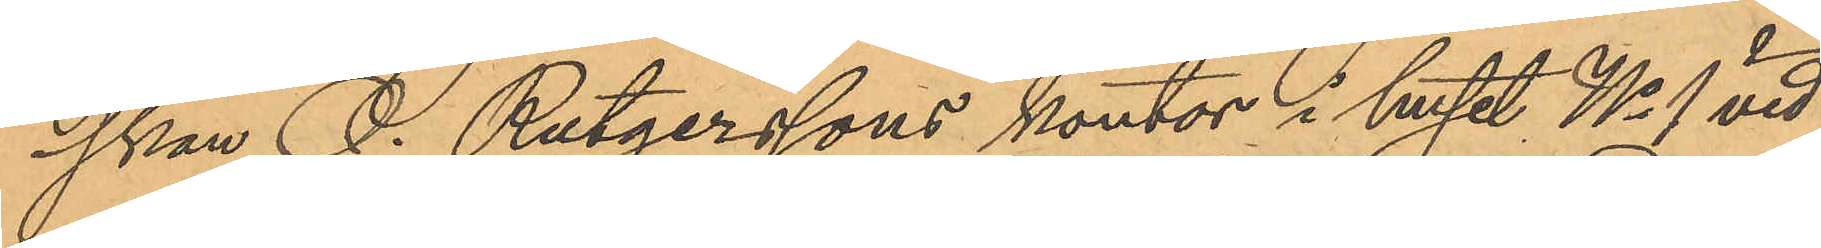skan O. Rutgerssons kontor i huset No 1 vid
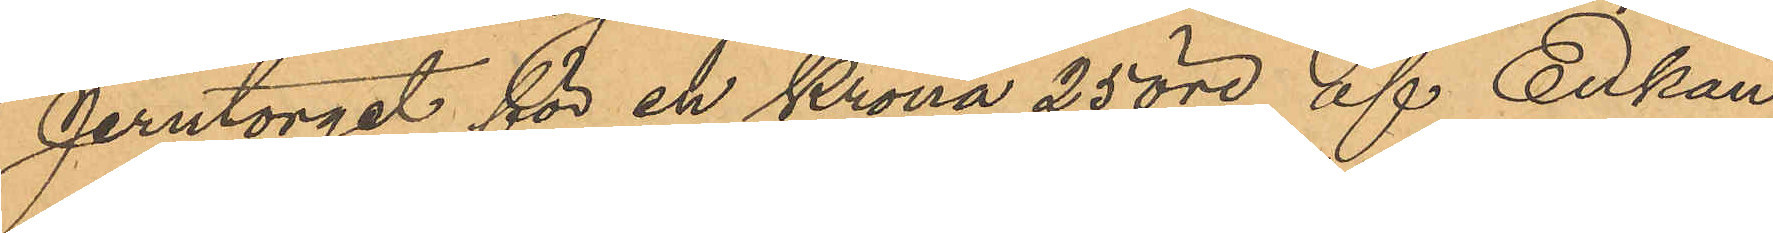Jerntorget för en Krona 25 öre af Enkan
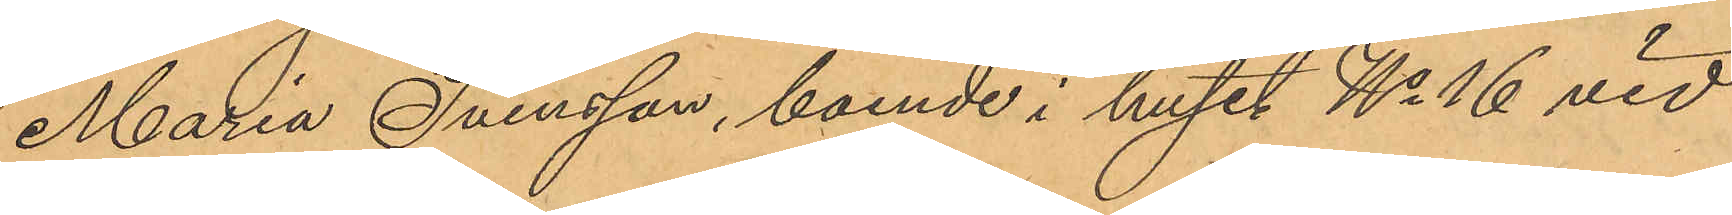Maria Svensson, boende i huset No 16 vid
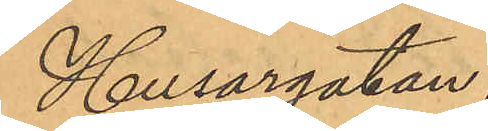Husargatan.
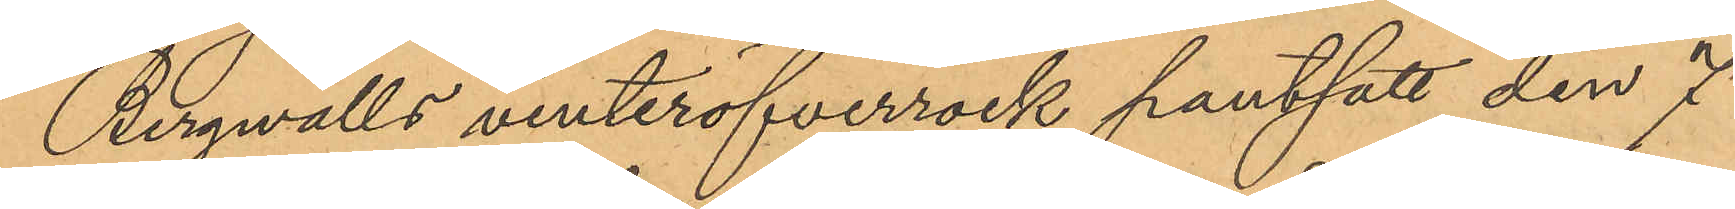Bergvalls vinteröfverrock pantsatt den 7
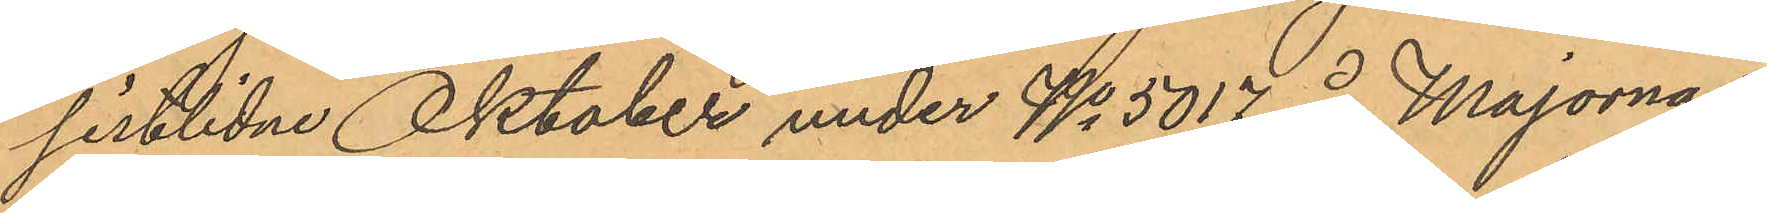sistlidne Oktober under No 5017 å Majornas
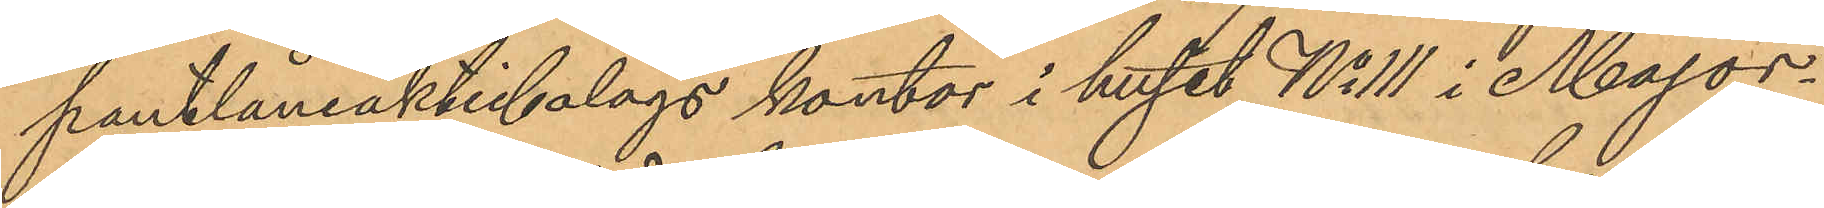pantlåneaktiebolags kontor i huset No 111 i Major¬
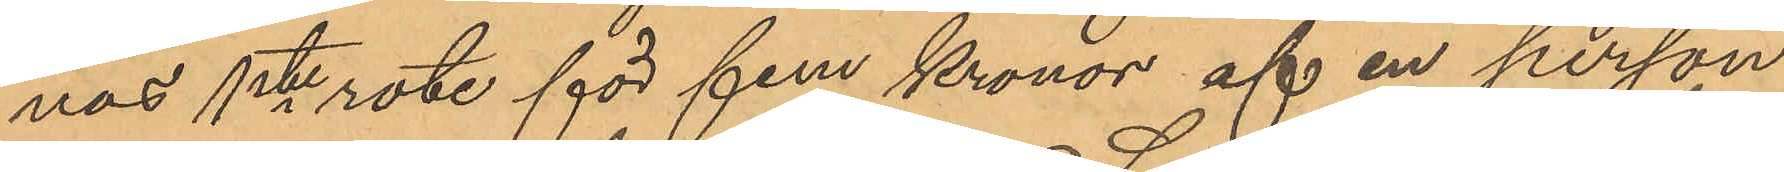nas 1ste rote för fem Kronor af en person
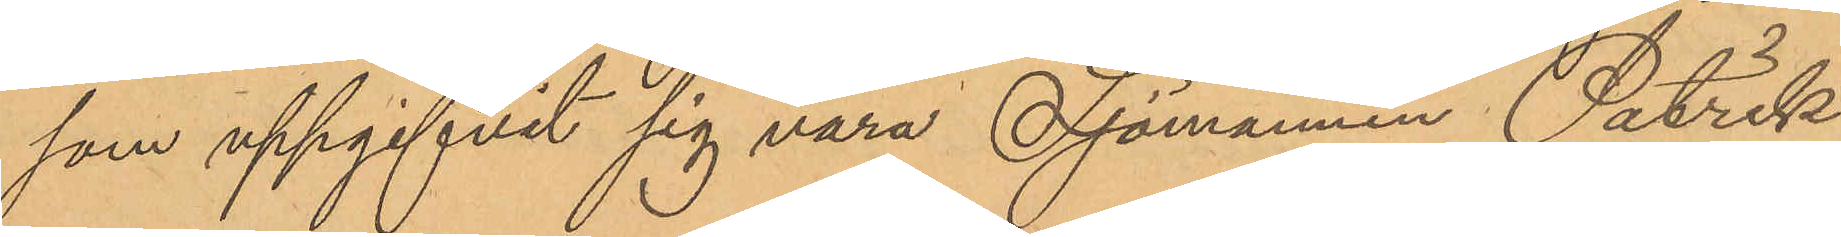som uppgifvit sig vara Sjömannen Patrik
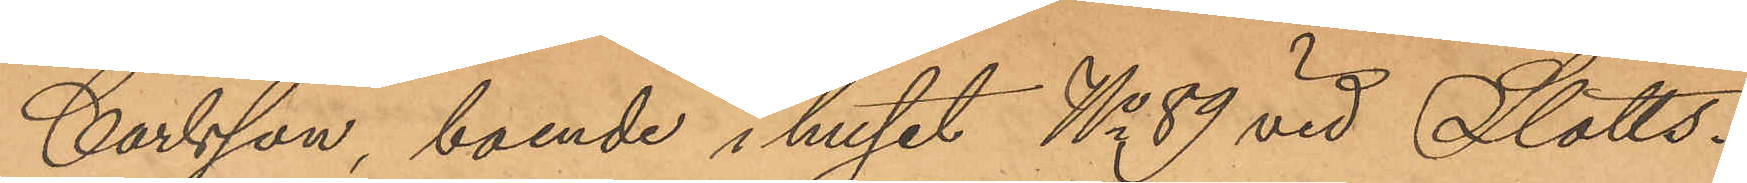Carlsson, boende i huset No 89 vid Slotts¬
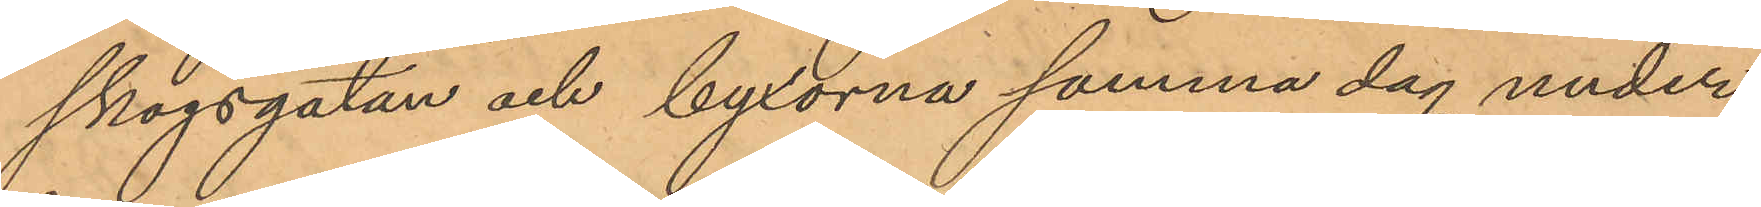skogsgatan och byxorna samma dag under
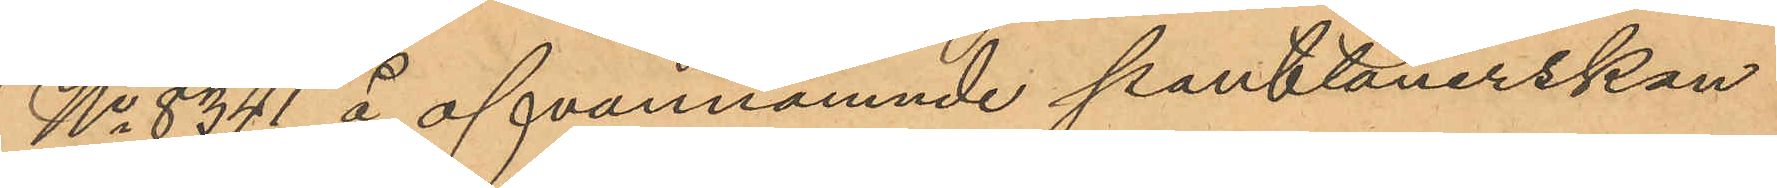No 8341 å ofvannämnde pantlånerskan
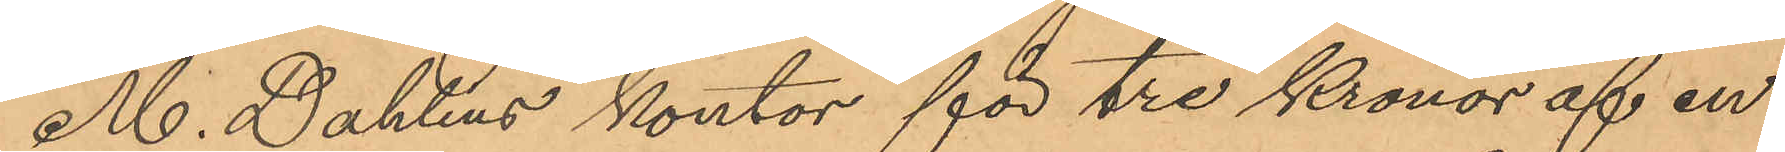M. Dahlins kontor för tre Kronor af en
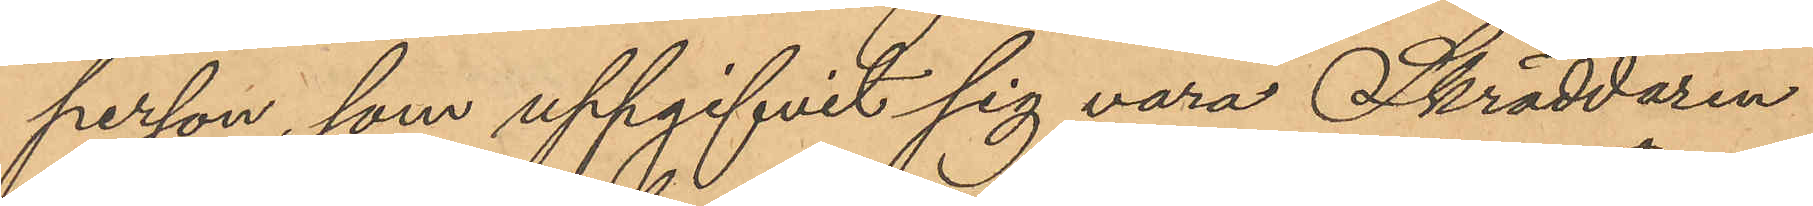person, som uppgifvit sig vara Skräddaren
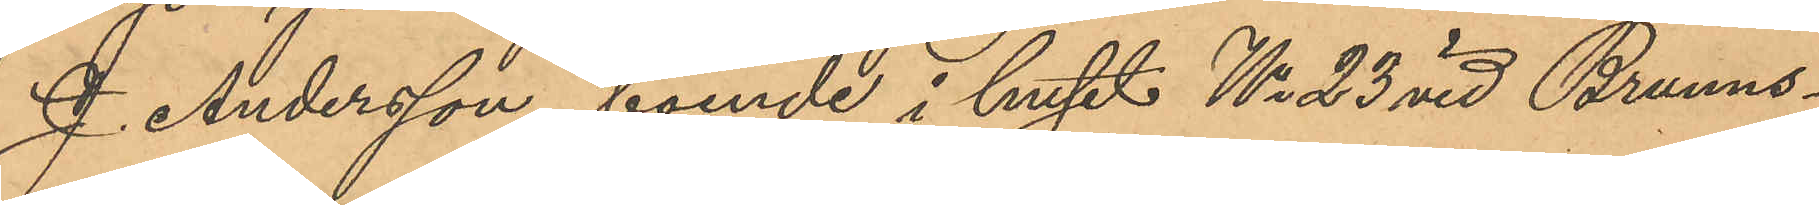J. Andersson, boende i huset No 23 vid Brunns¬
